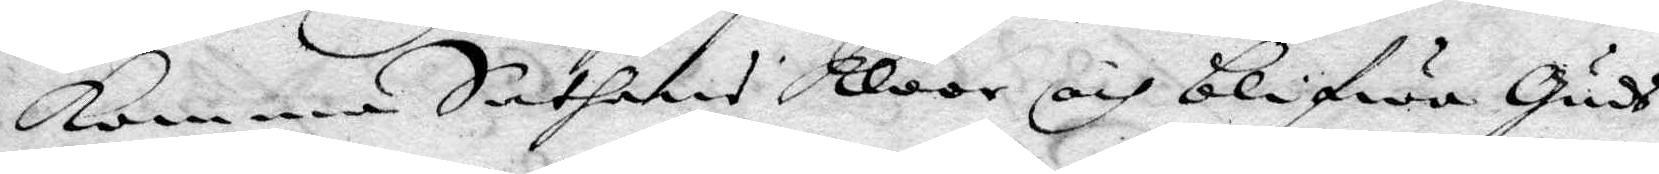komma Sathans Kloor och blifwa Guds
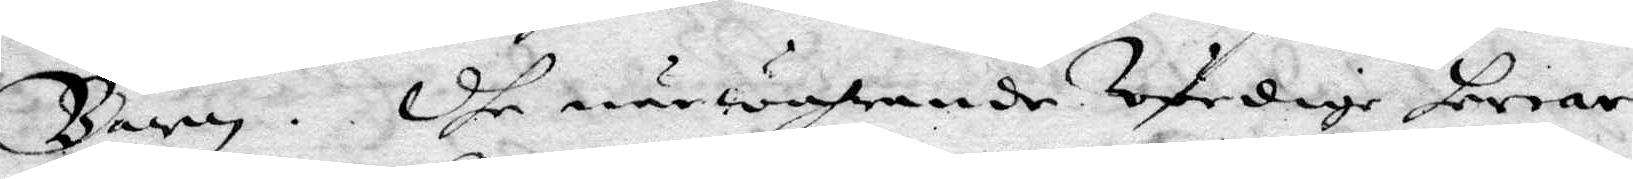Barn. Dhe närwahrande Wördige herrar
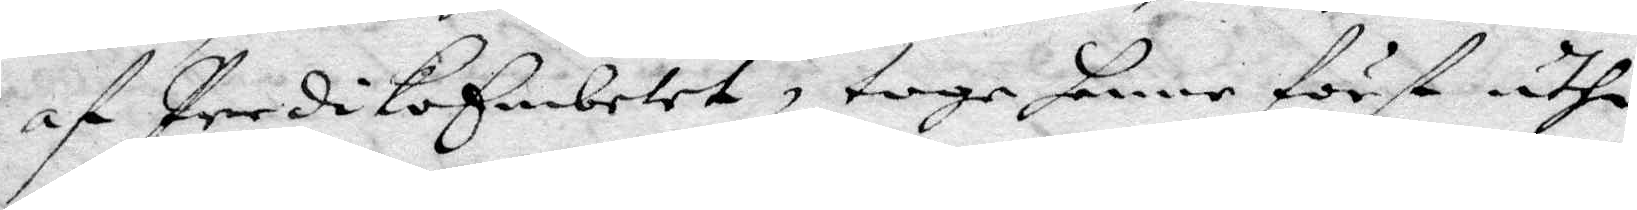af PredikoEmbetet, toge henne först uthi
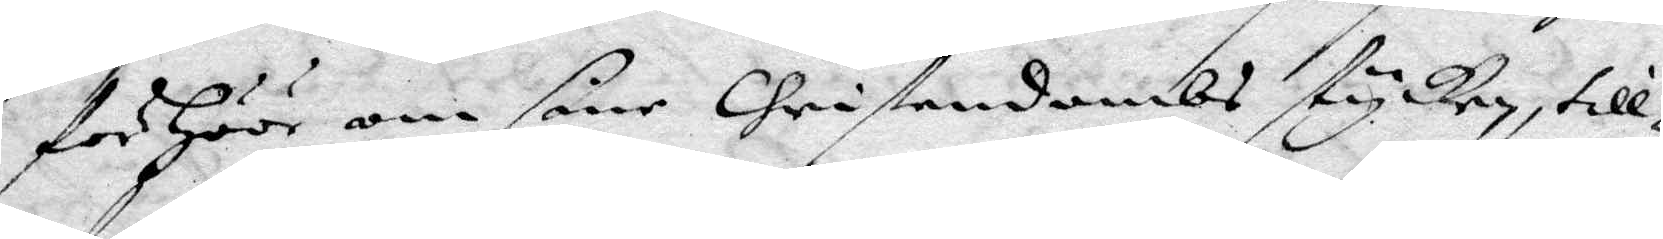förhöör om sine Christendombs stycken, till¬
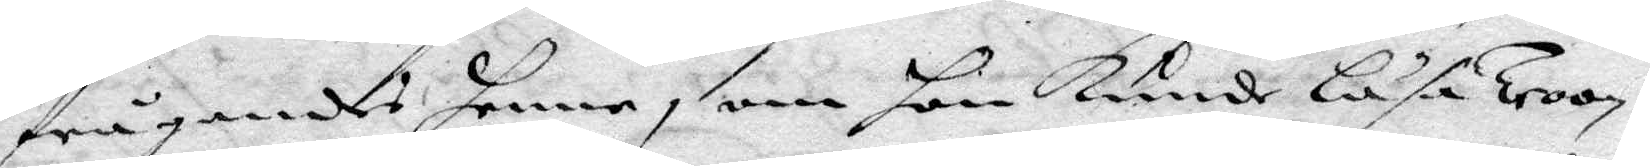frågandes henne, om hon kunde Läsa Troon?
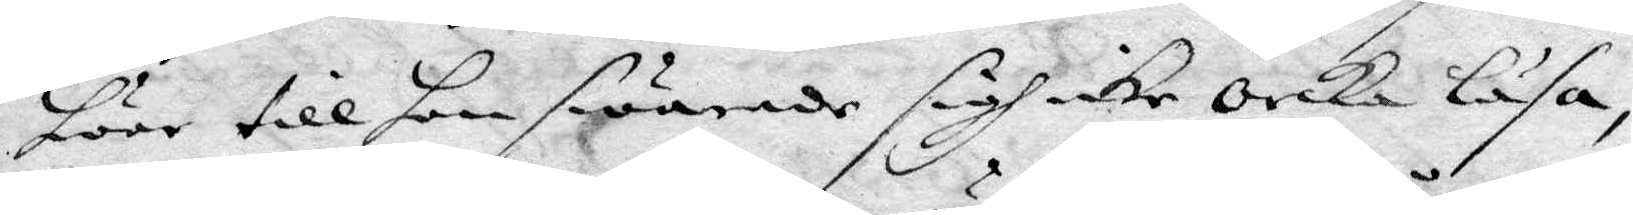hwar till hon swarade sigh icke orka läsa,
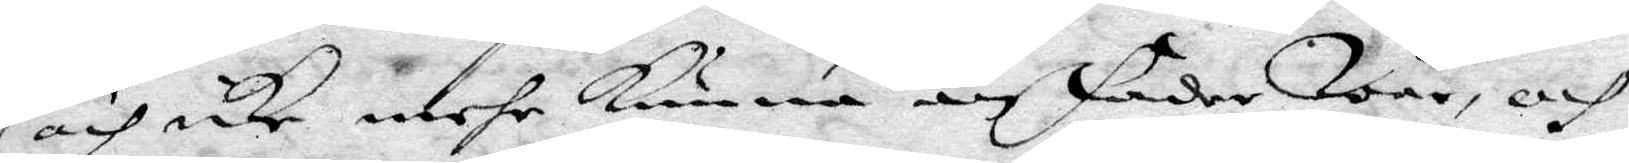och icke mehr kunna än fader Wår, och
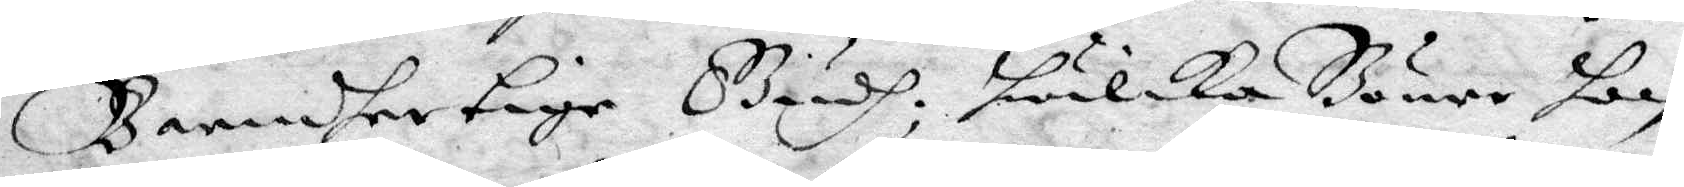Barmhertige Gudh, hwilka Böner hon
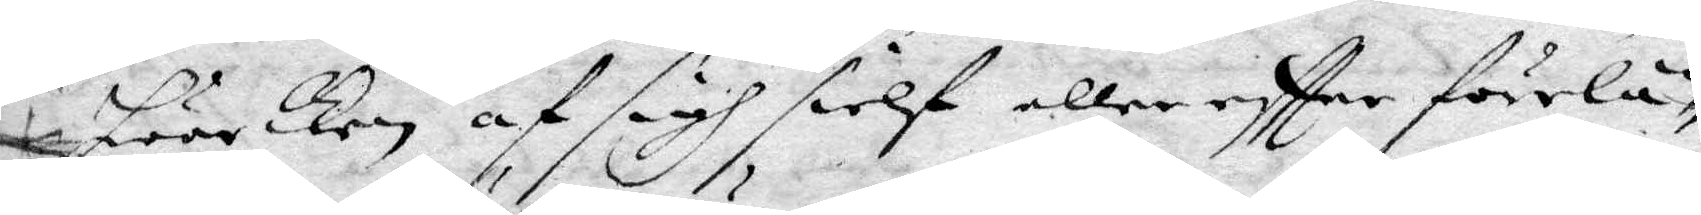hwarken af sigh sielf, eller eftter förelä¬
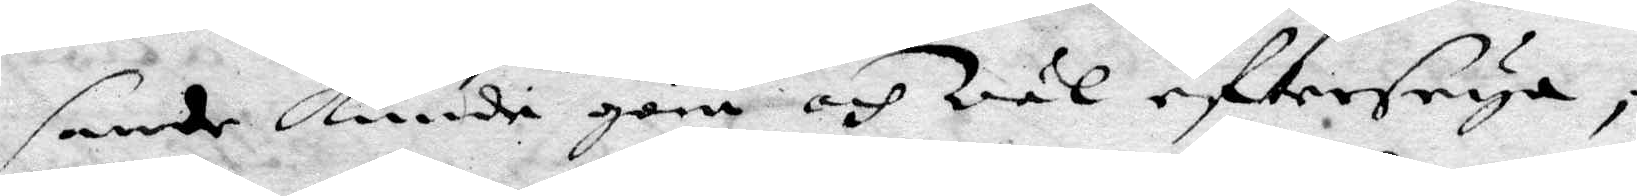sande kunde göra och wäl eftterseya,
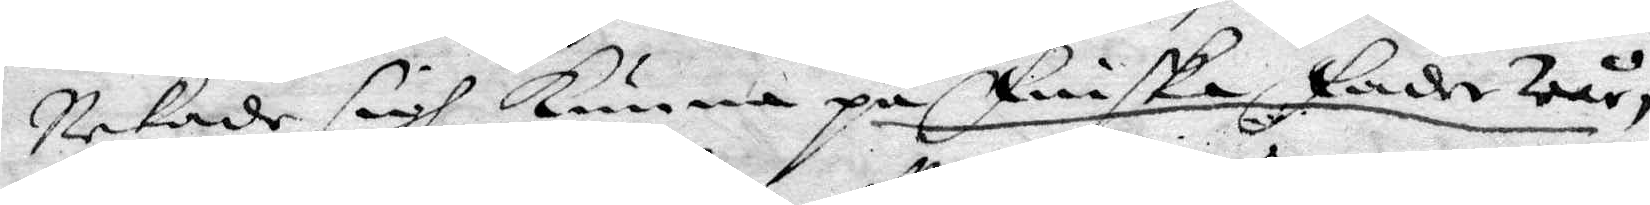nekade sigh kunna på Finska, Fader wår,
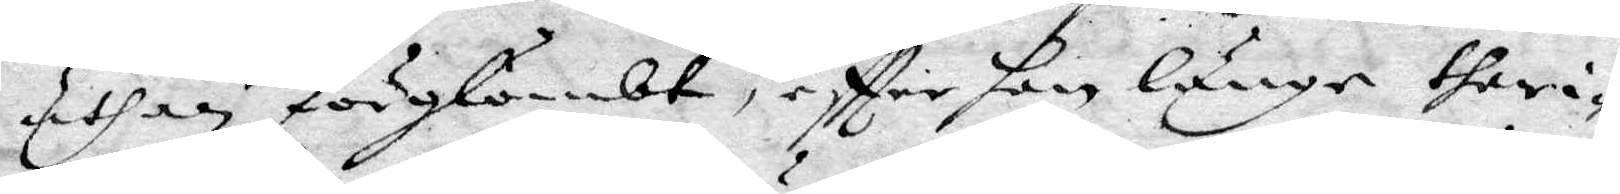uthan förglömbt, effter hon länge theri¬
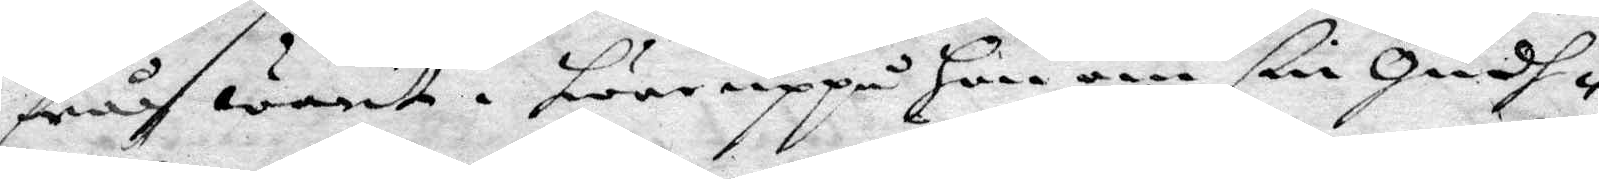från warit. hwar uppå Hon om sin Gudh¬
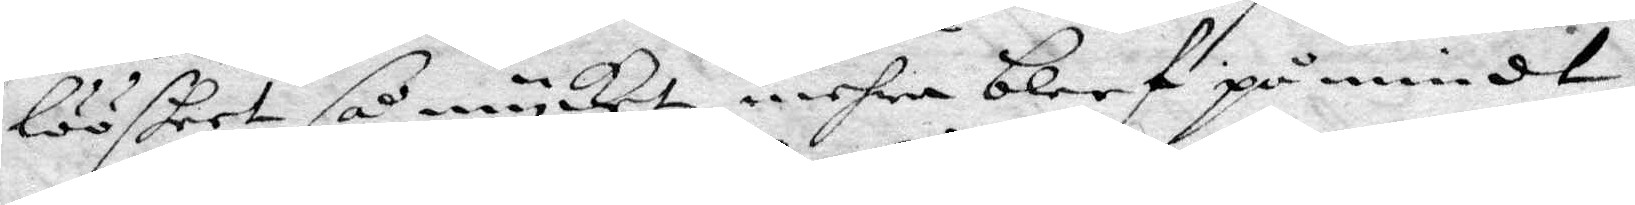lööskeet så mycket mehra bleef påmindt,
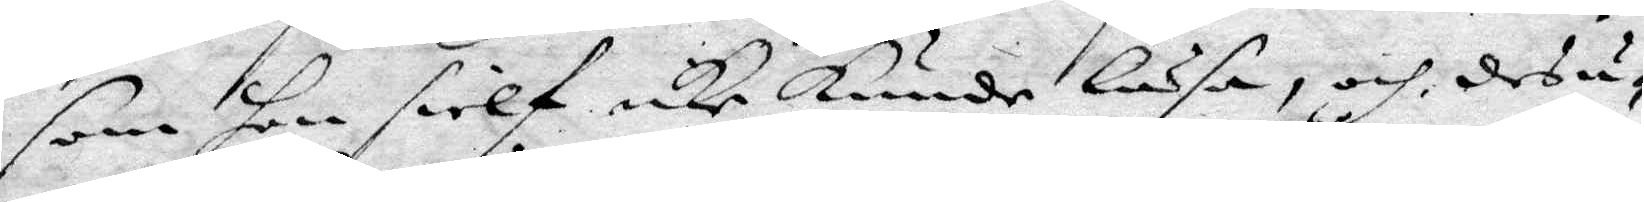som hon sielf icke kunde Läsa, och desu¬
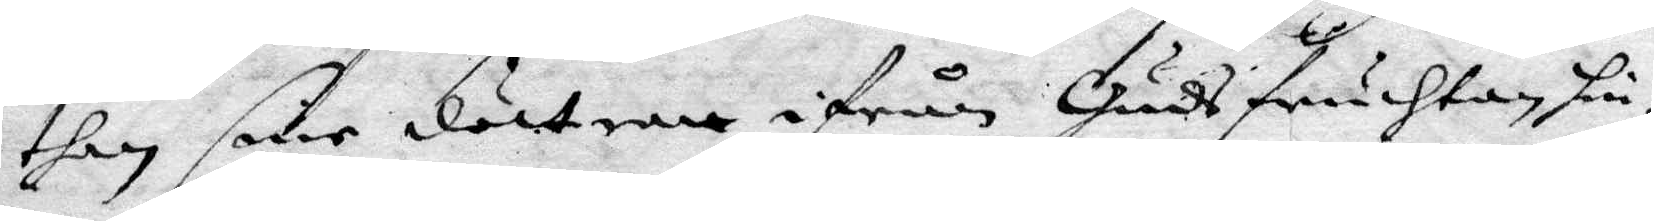then sine döttrar ifrån Gudsfruchtan hin¬
